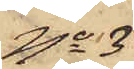No 3
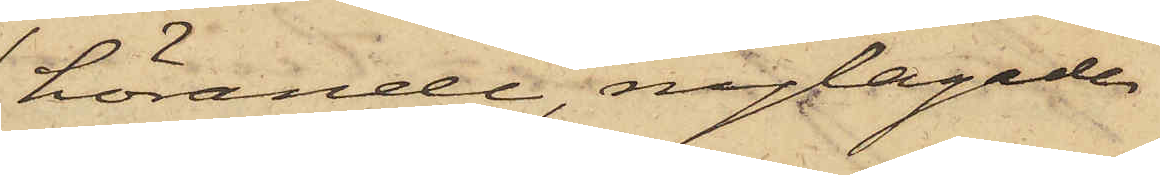hörande, nylagade
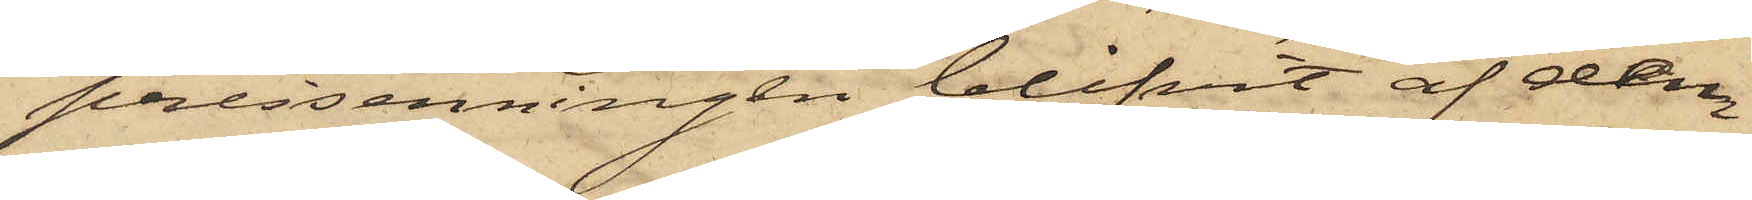pressenningen blifvit af dem
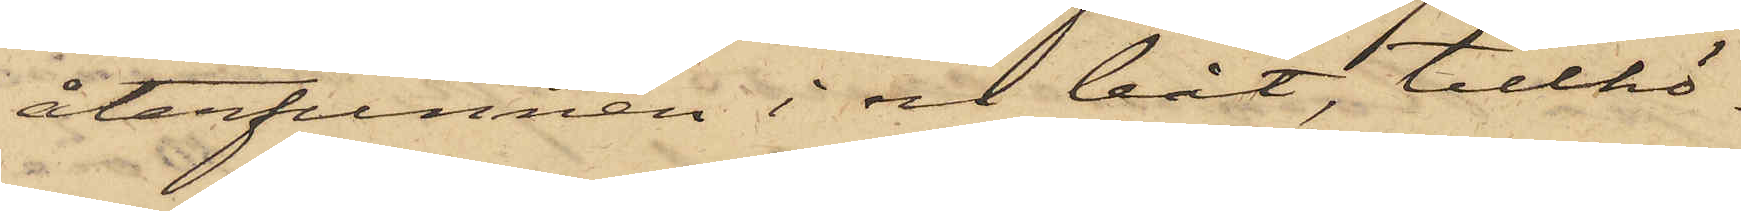återfunnen i en båt, tillhö¬
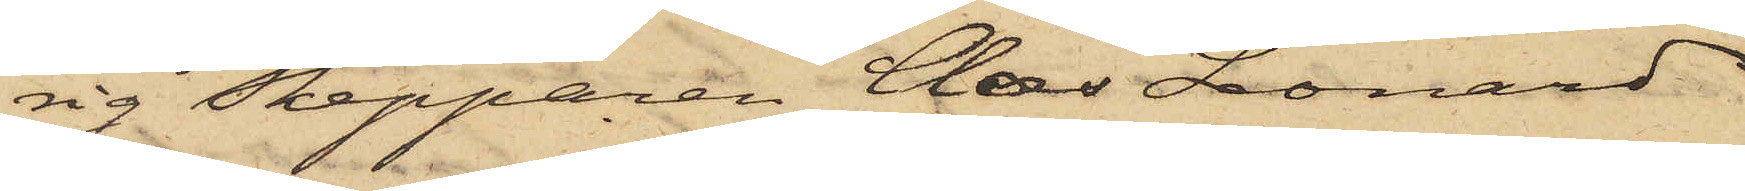rig Skepparen Claes Leonard
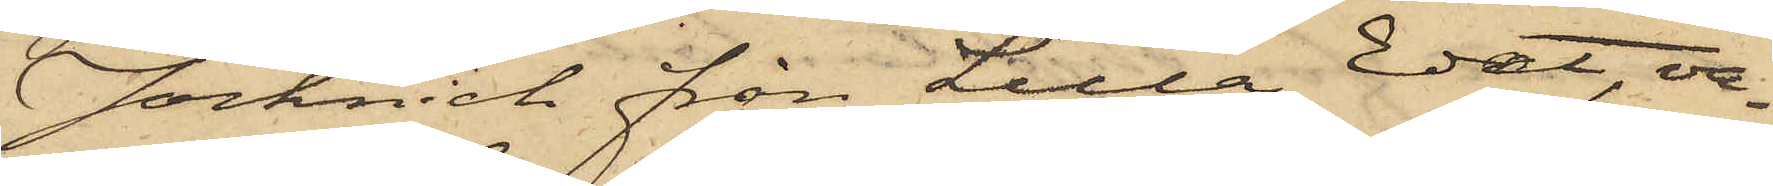Jochnich från Lilla Edet, va¬
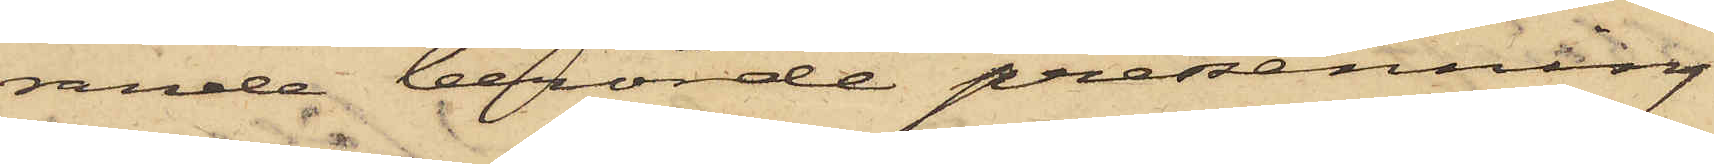rande berörde presenning
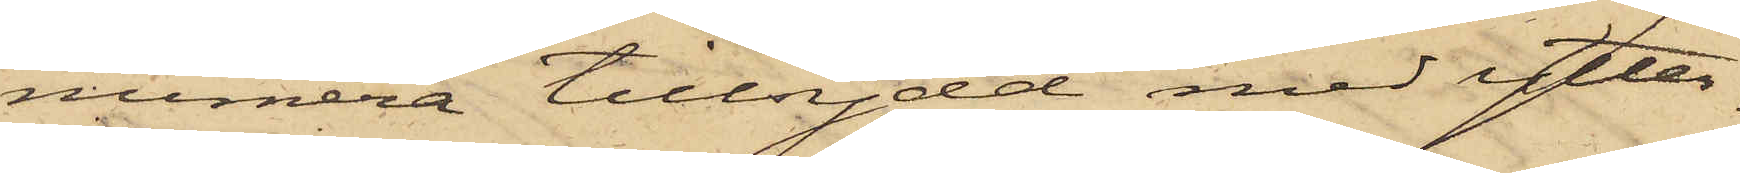numera tillsydd med ytter¬
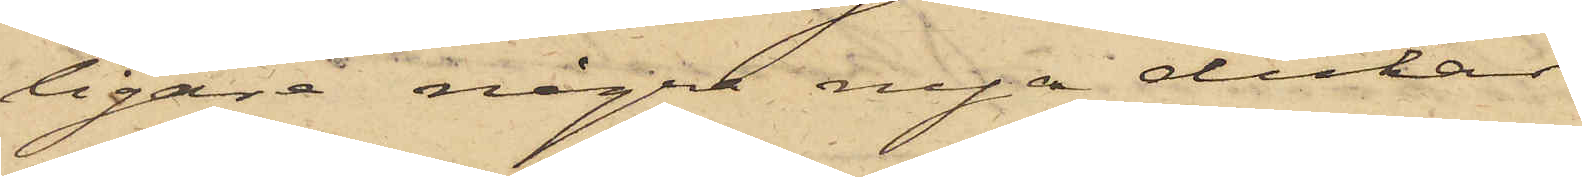ligare några nya dukar.
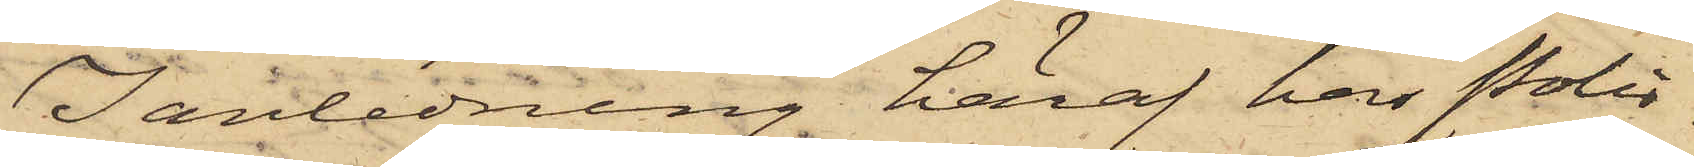I anledning häraf har Polis¬
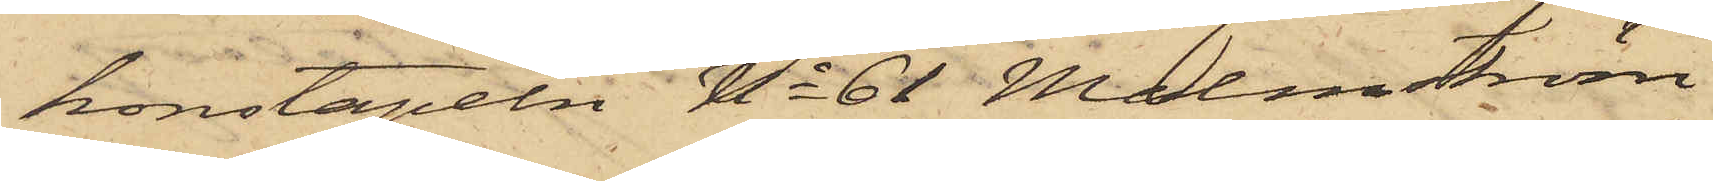konstapeln No 61 Malmström
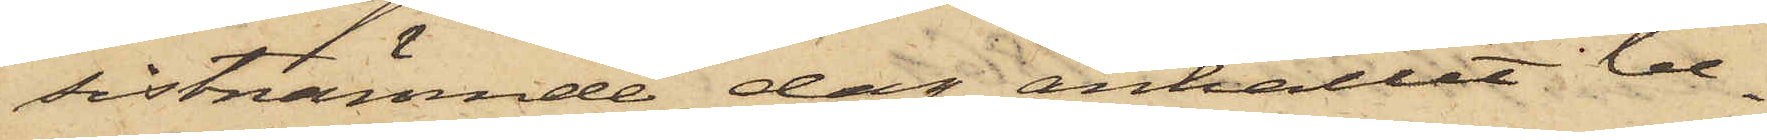sistnämnde dag anhållit be¬
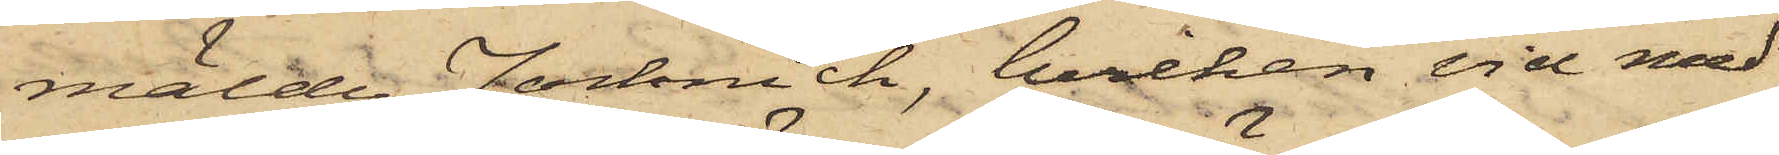mälde Jochnich, hvilken vid med
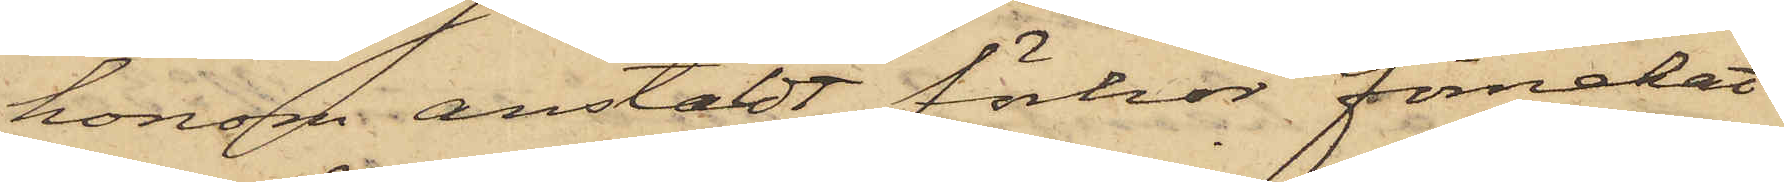honom anstält förhör förnekat
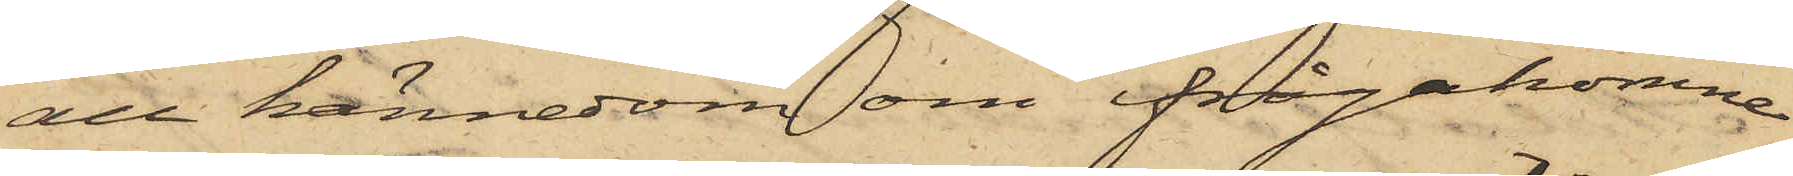all kännedom om ifrågakomne
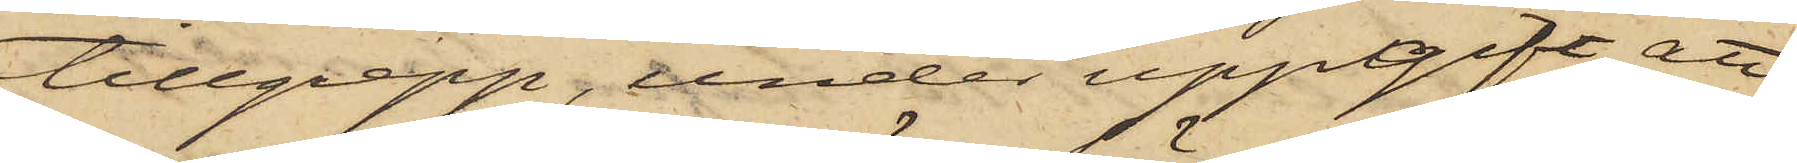tillgrepp, under uppgift att
